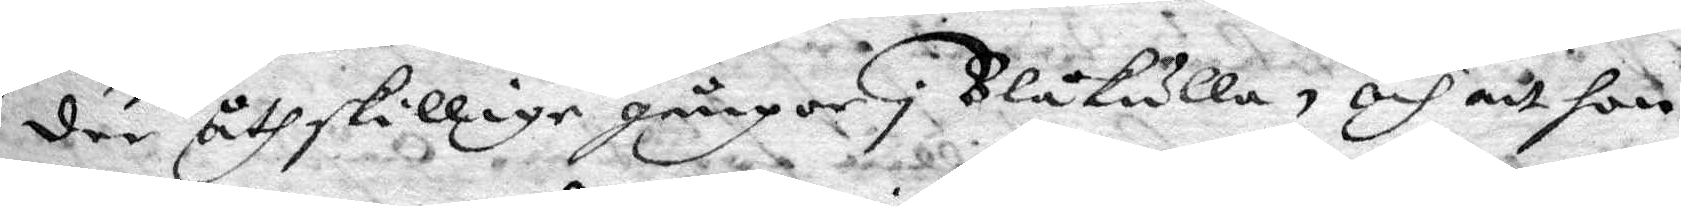der åthskillige gånger i Blåkulla, och att hon
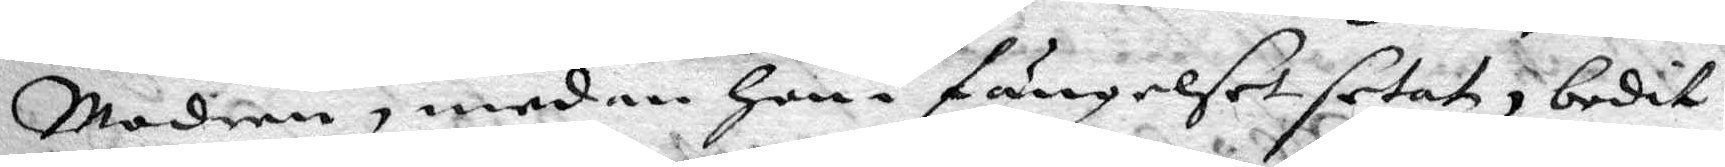Modren, medan hon i fängelset setat, bedit
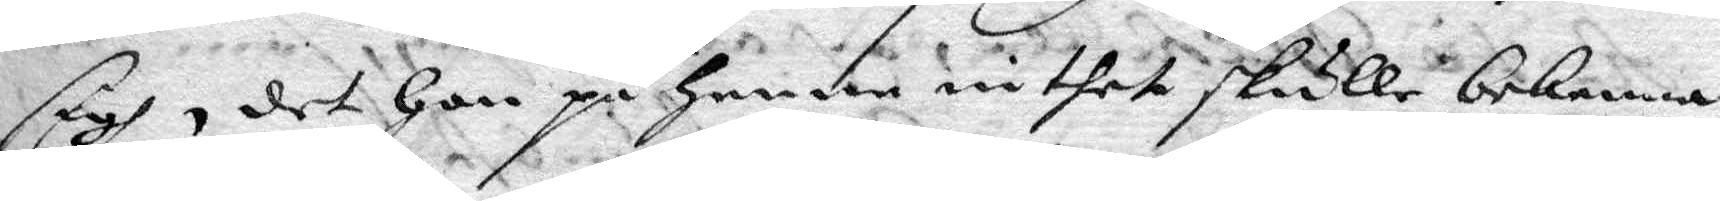sigh, det hon på henne inthet skulle bekenna,
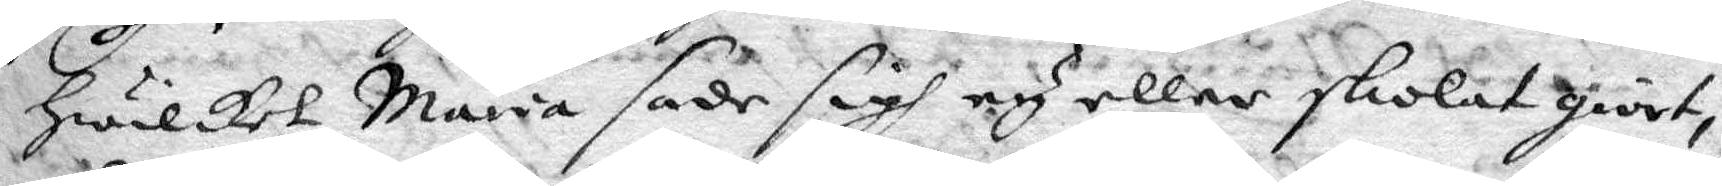hwilket Maria sade sigh ey eller skolat giort,
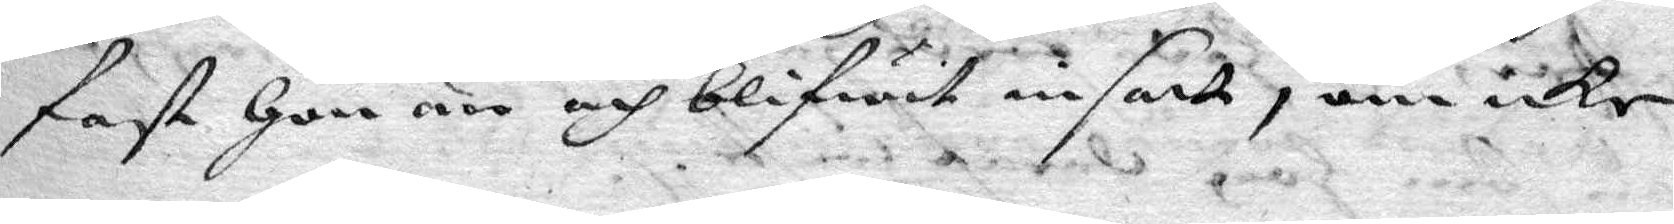fast hon är och blifwit insatt, om icke
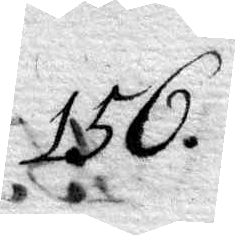156.
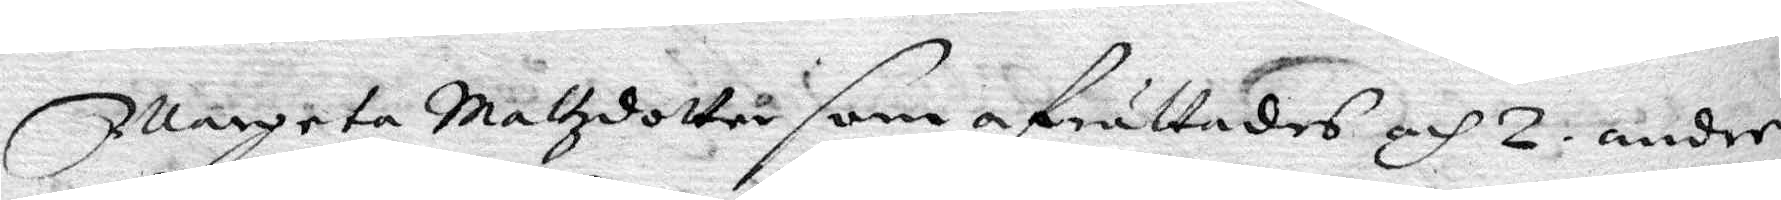margeta Mattzdotter som afrättades och 2. andre
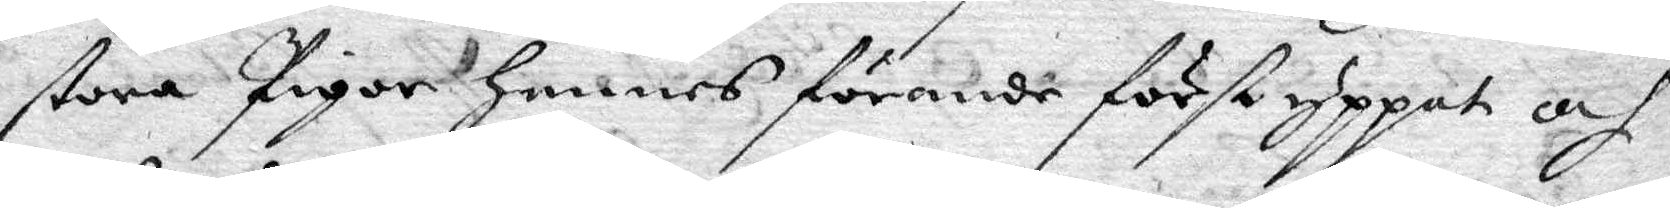stora Pigor hennes förande först yppat och
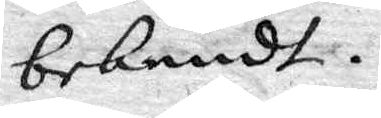bekendt.
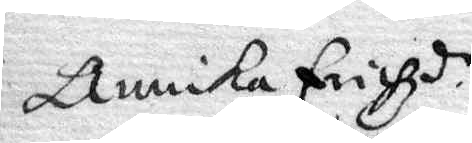Annika Erichdr
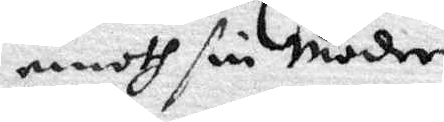emoth sin Moder
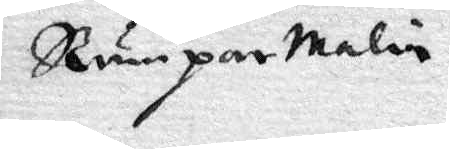Rumpar Malin
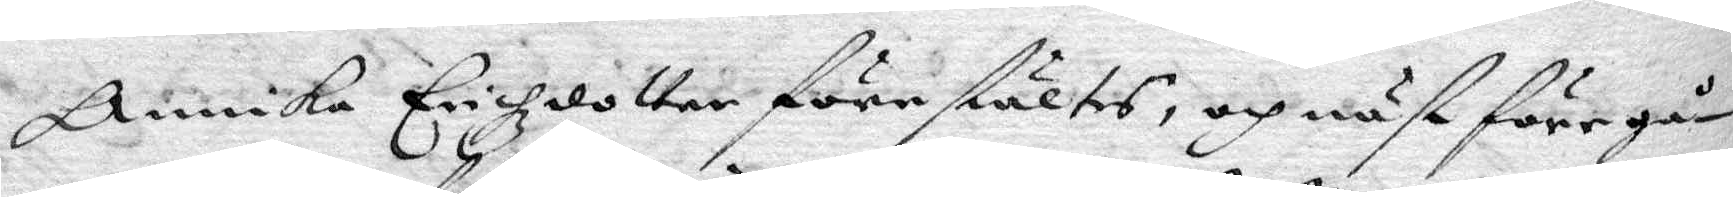Annika Erichzdotter förestältes, och näst föregå¬
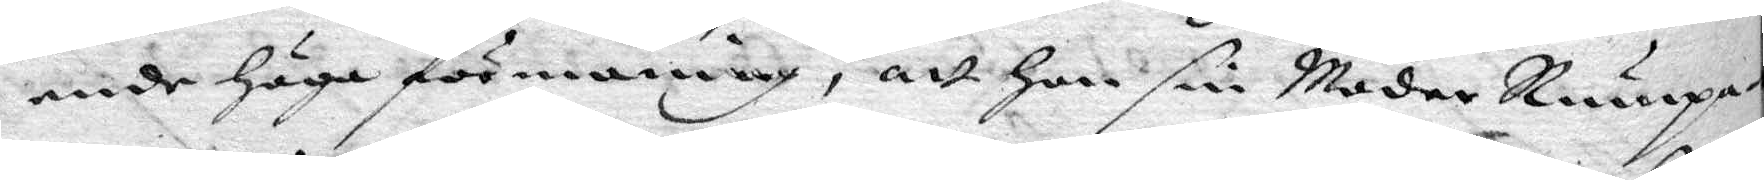ende höga förmaning, att hon sin Moder Rumpa¬
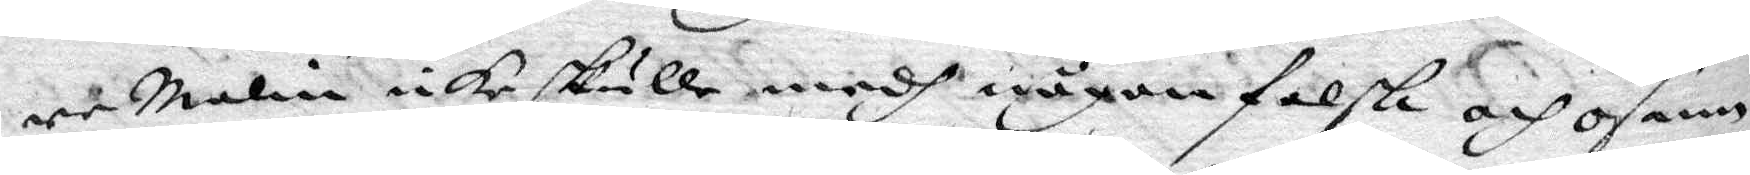re malin icke skulle medh någon falsk och osann
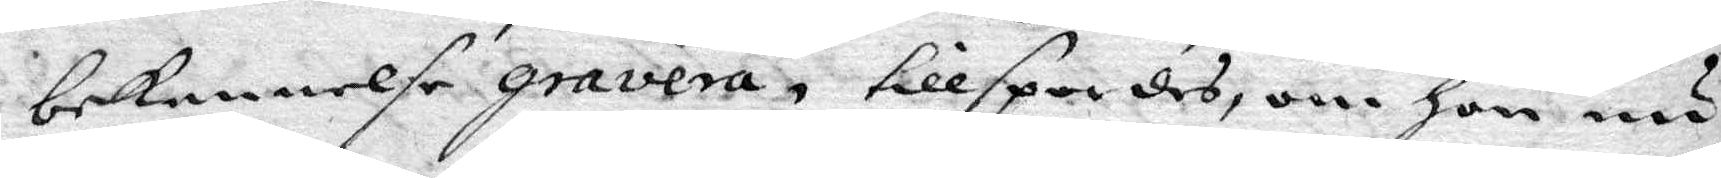bekennelse gravera, tillspordes, om hon nu
